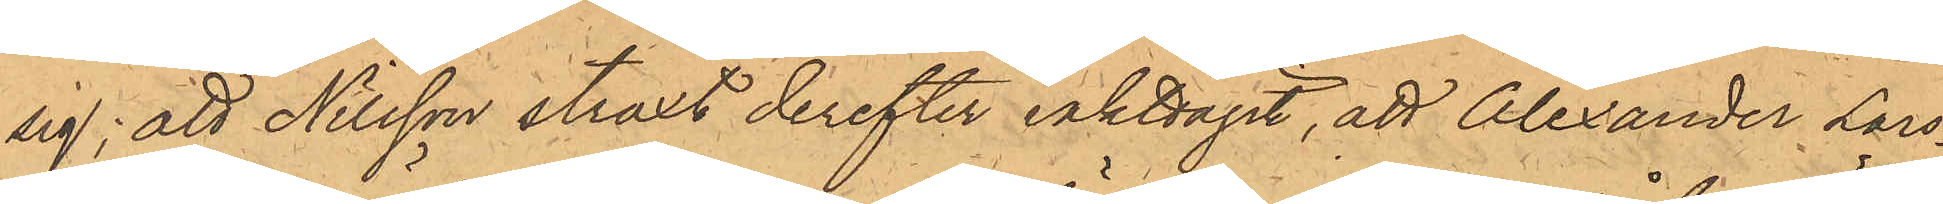sig; att Nilsson straxt derefter iakttagit, att Alexander Lars¬
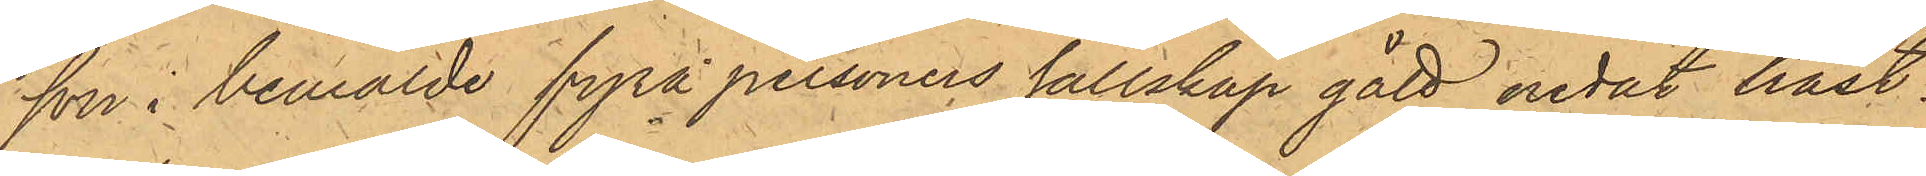son i bemälde fyra personers sällskap gått nedåt häst¬
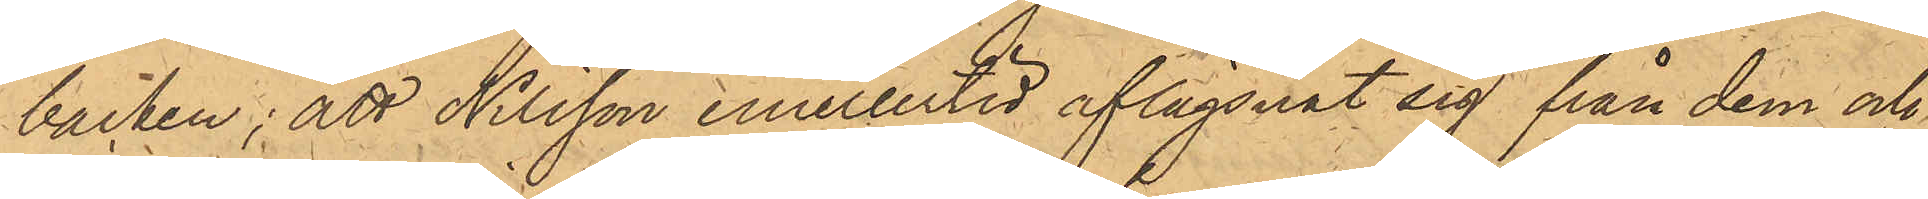backen; att Nilsson emellertid aflägsnat sig från dem och
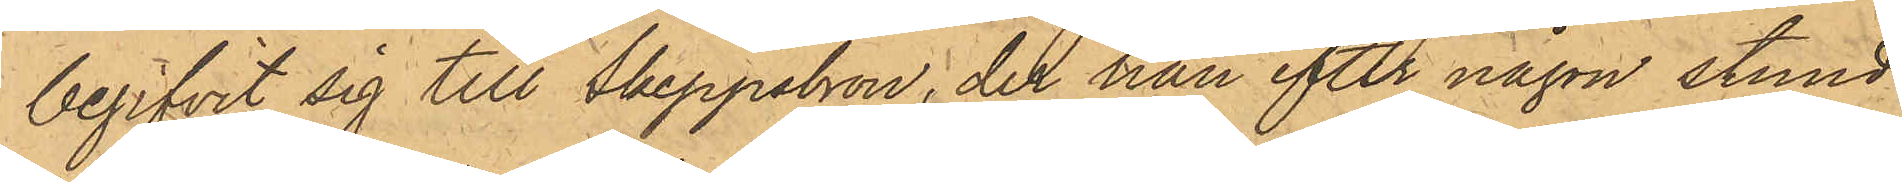begifvit sig till Skeppsbron, der han efter någon stund
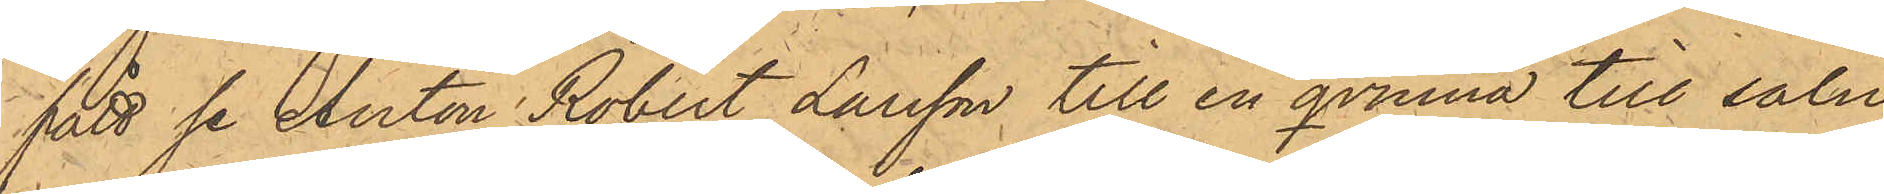fått se Anton Robert Larsson till en qvinna till salu
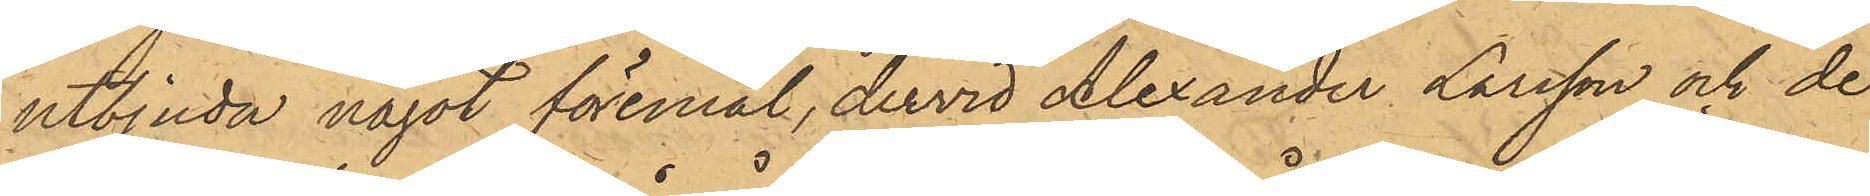utbjuda något föremål, dervid Alexander Larsson och de
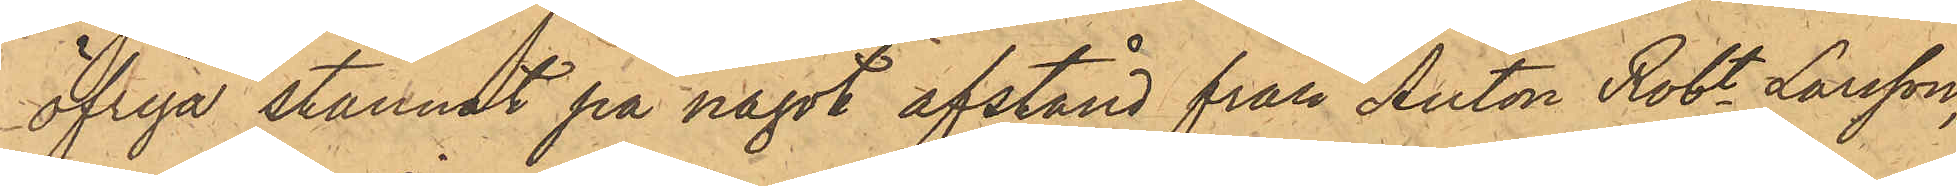öfriga stannat på något afstånd från Anton Robt Larsson;
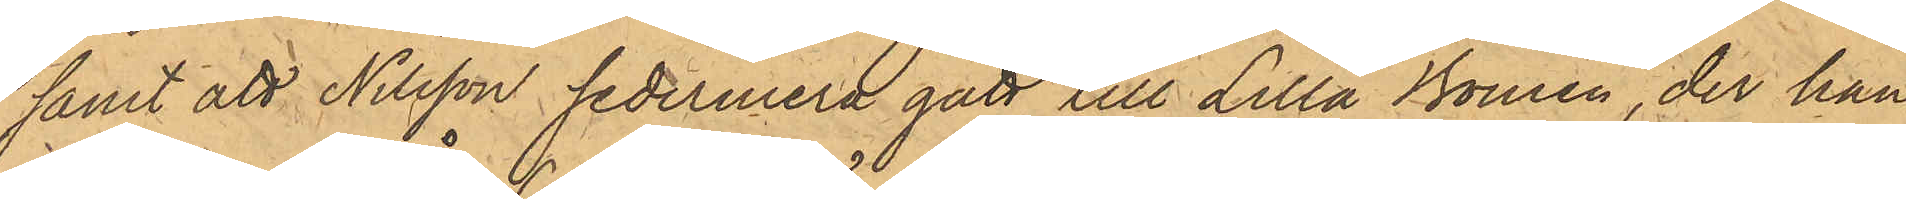samt att Nilsson sedermera gått till Lilla Bomen, der han
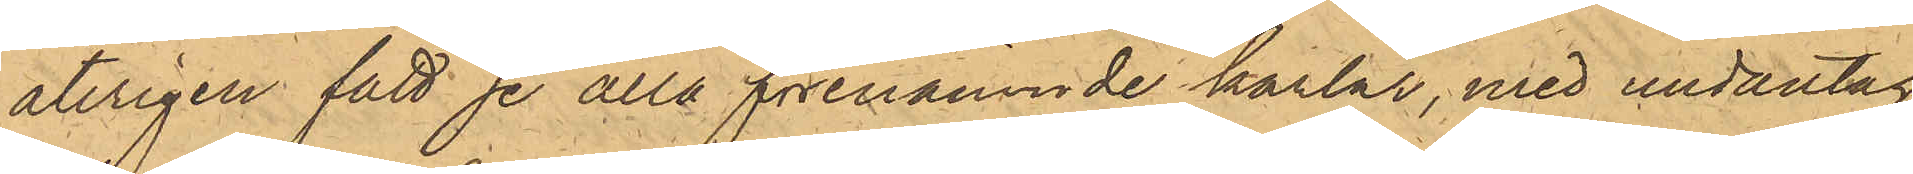återigen fått se alla förenämnde karlar, med undantag
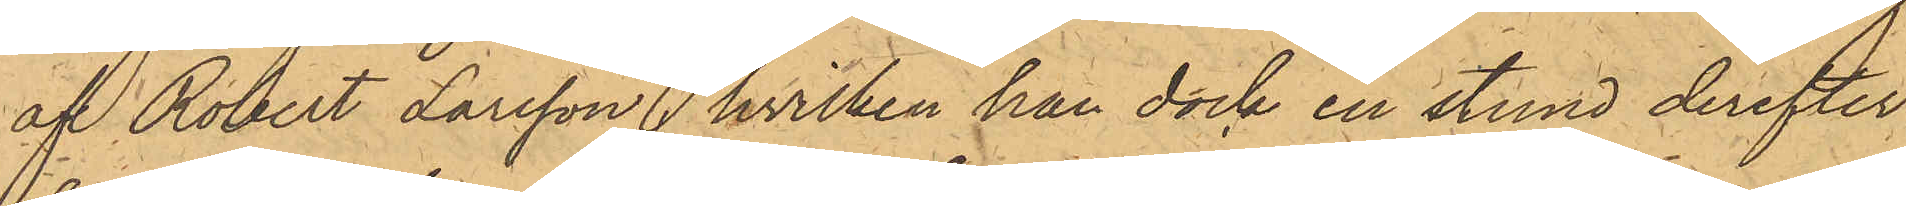af Robert Larsson, hvilken han dock en stund derefter
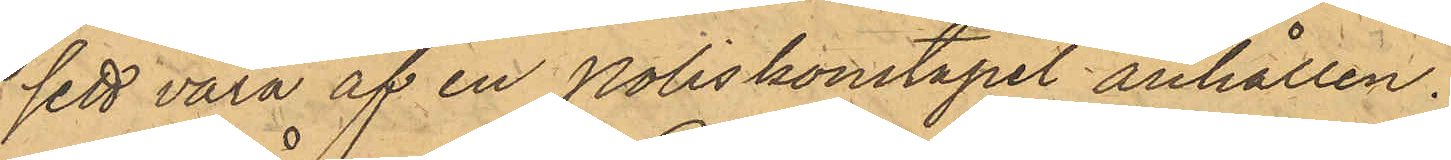sett vara af en Poliskonstapel anhållen.
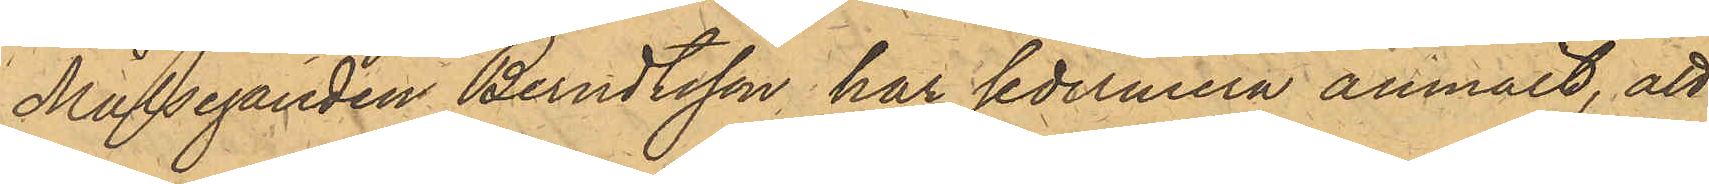Målseganden Berndtsson har sedermera anmält, att
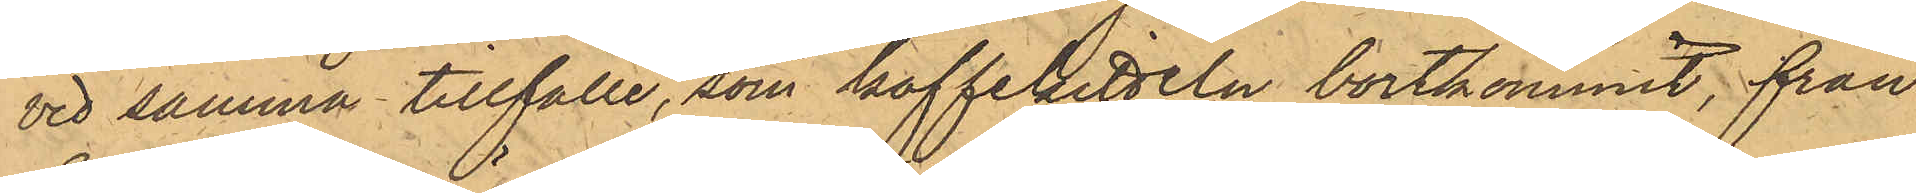vid samma tillfälle, som kaffekitteln bortkommit, från
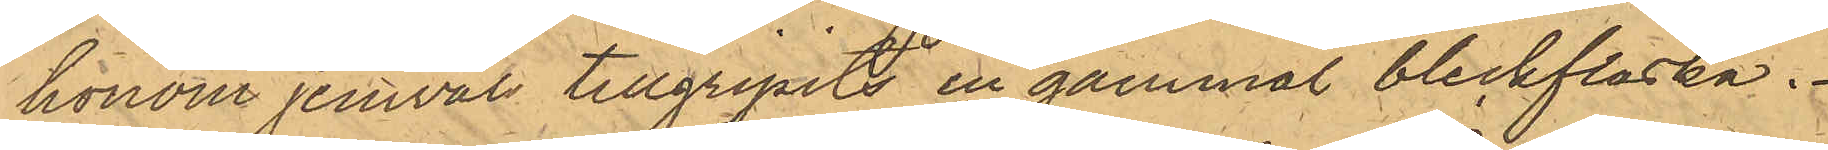honom jemväl tillgripits en gammal bleckflaska.
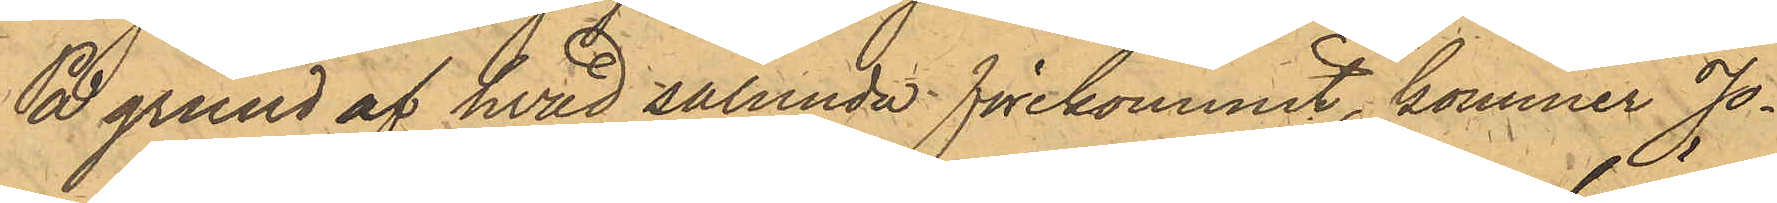På grund af hvad sålunda förekommit, kommer Jo¬
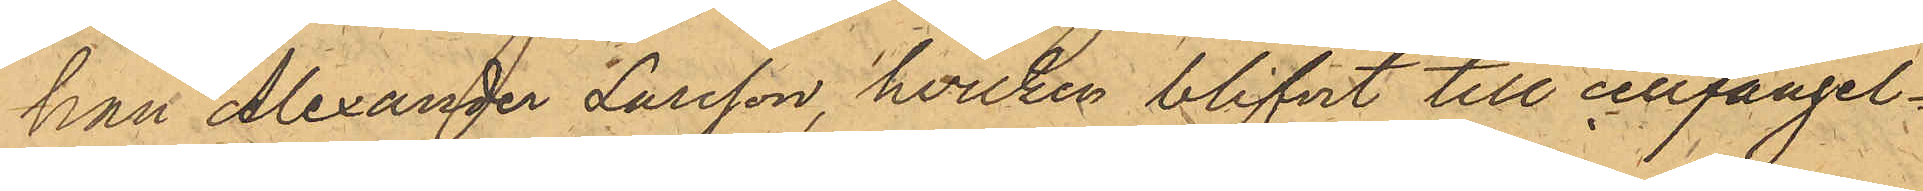han Alexander Larsson, hvilken blifvit till cellfängel¬
